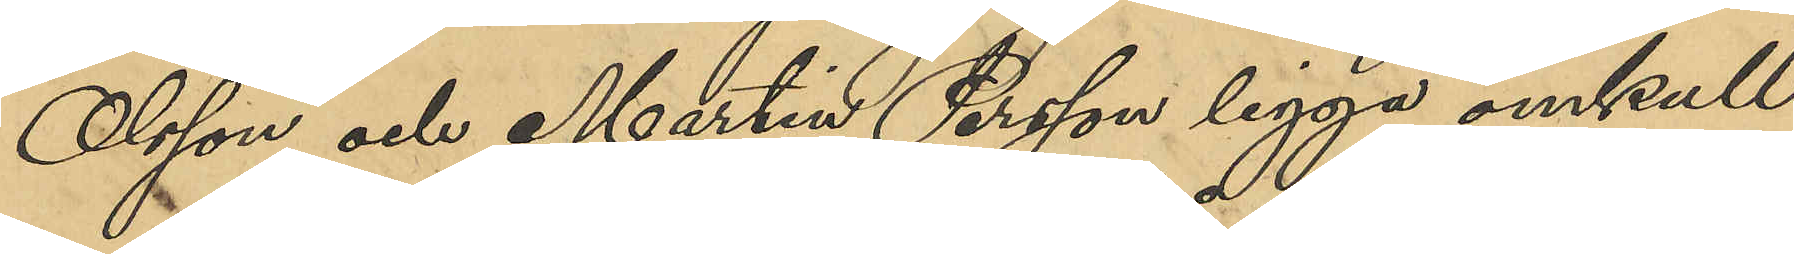Olsson och Martin Persson ligga omkull
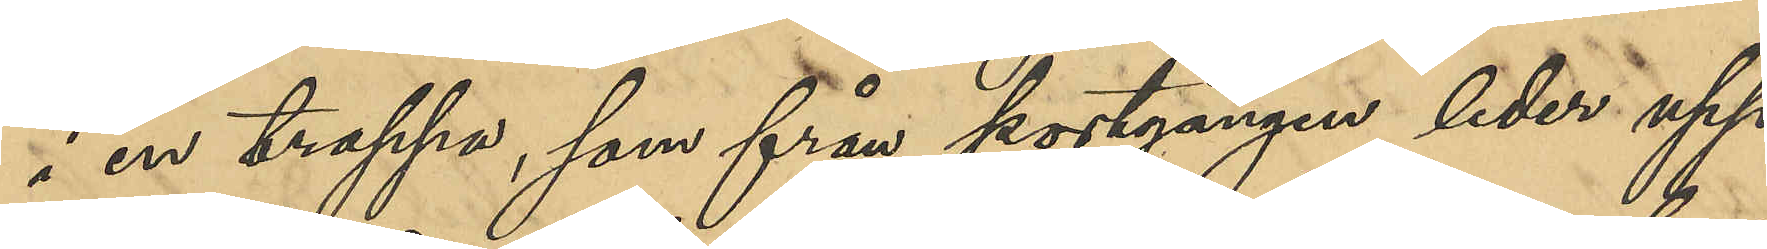i en trappa, som från portgången leder upp
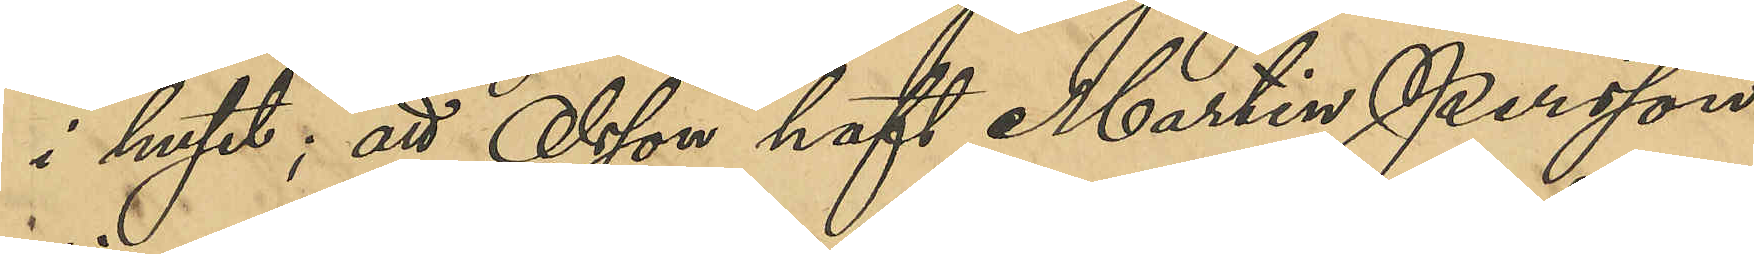i huset; att Olsson haft Martin Persson
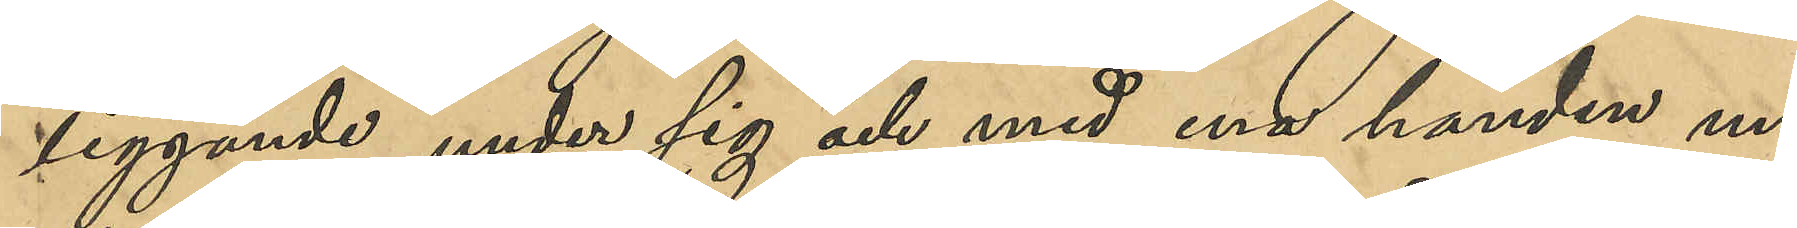liggande under sig och med ena handen un¬
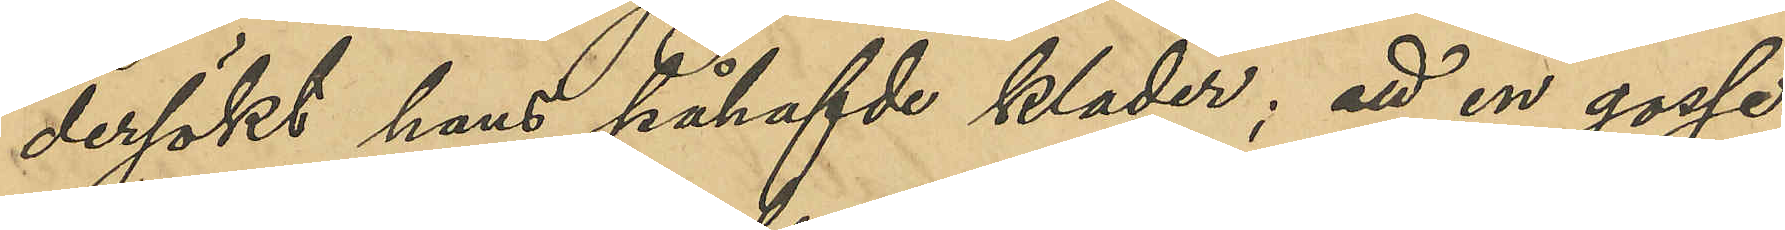dersökt hans påhafvde kläder; att en gosse
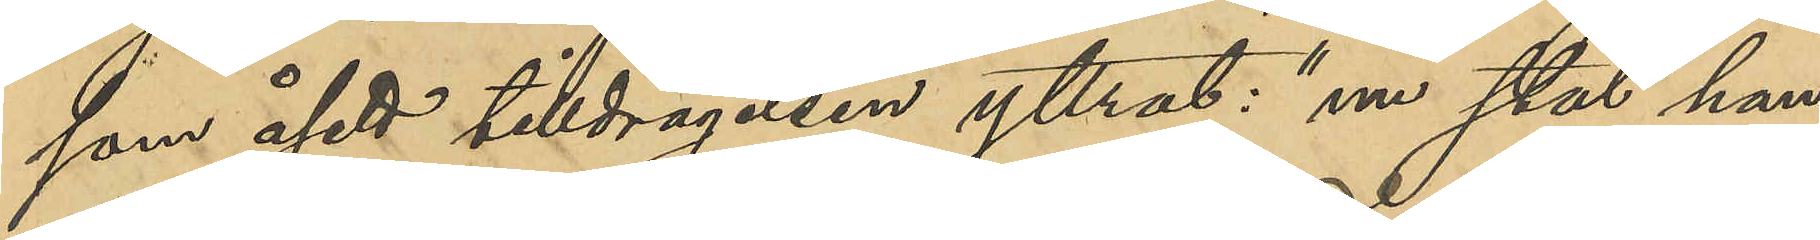som åsett tilldragelsen yttrat: "nu stal han
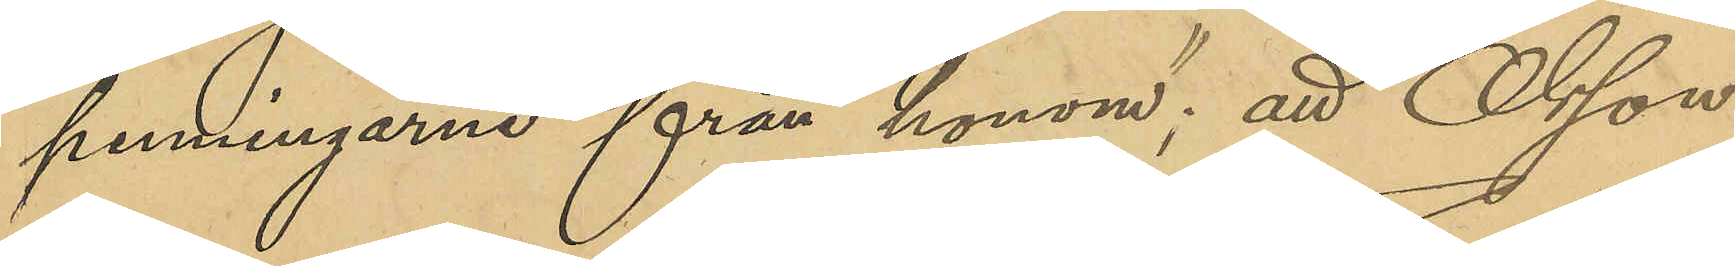penningarne från honom"; att Olsson
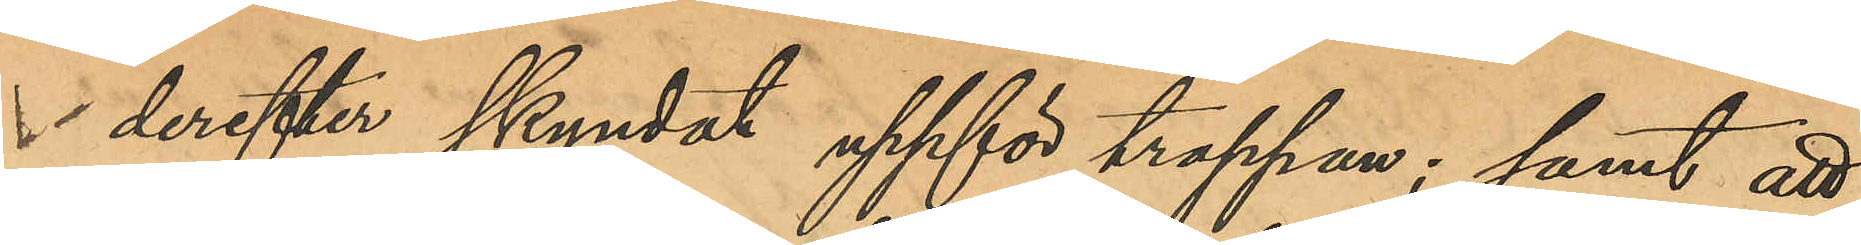derefter skyndat uppför trappan; samt att
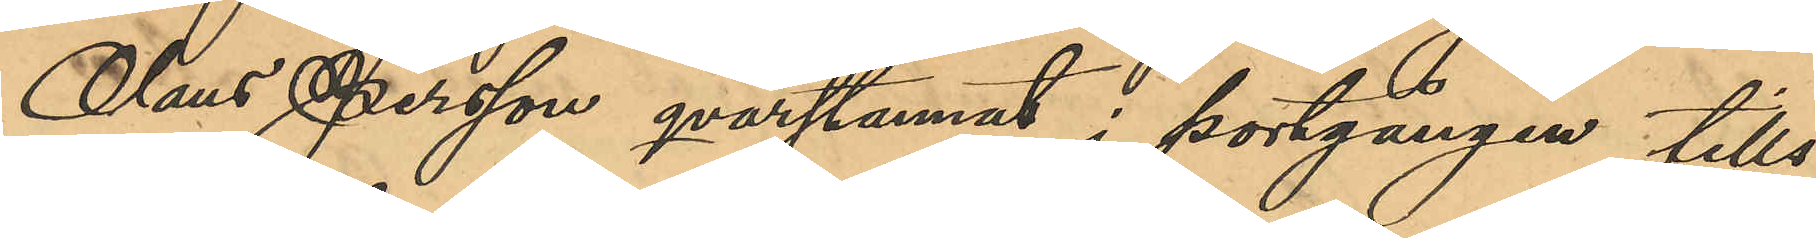Olaus Persson qvarstannat i portgången tills
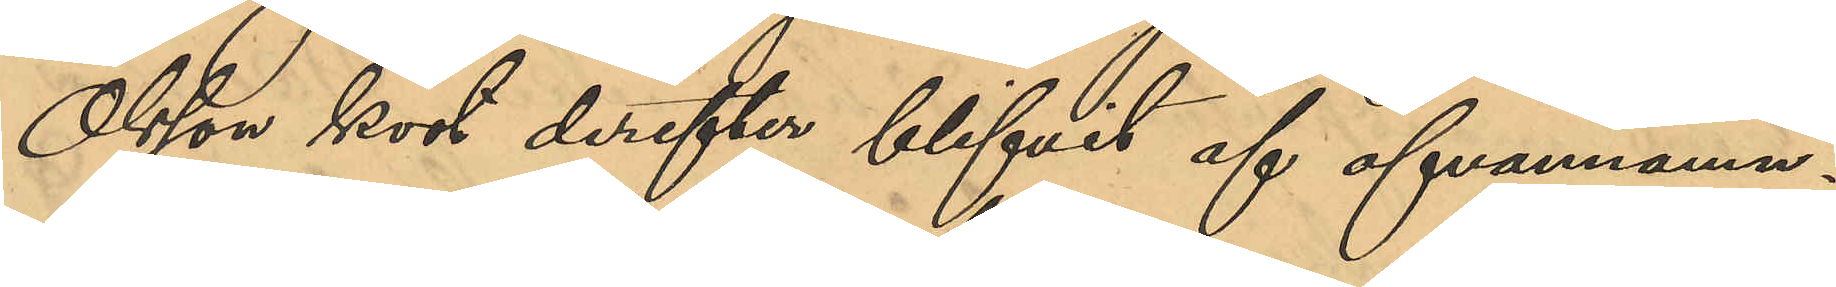Olsson kort derefter blifvit af ofvannämn¬
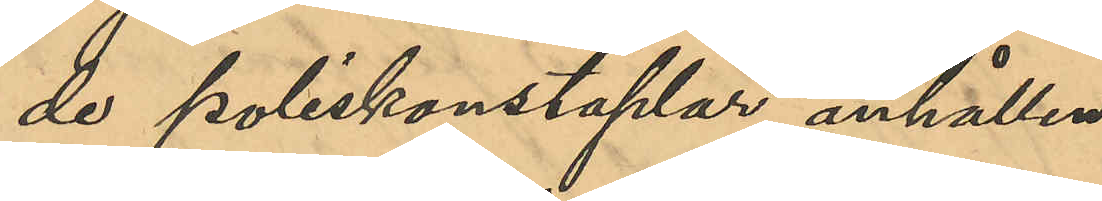de poliskonstaplar anhållen.
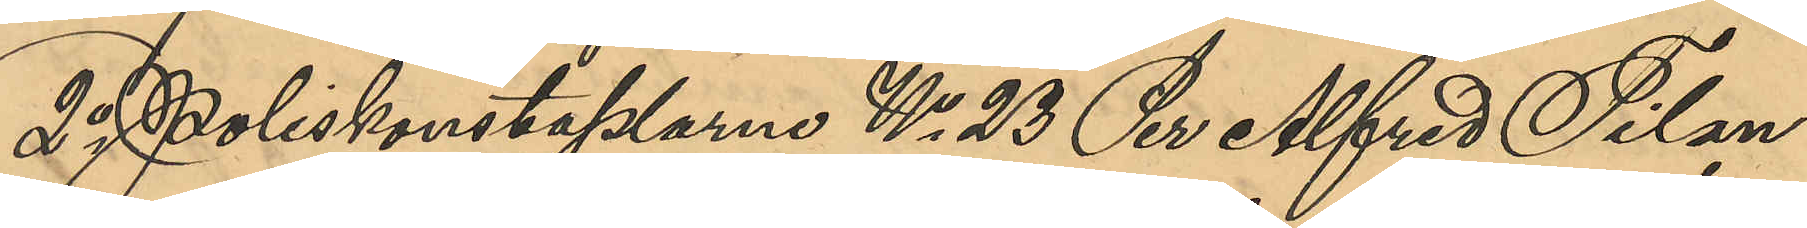2o Poliskonstaplarne No 23 Per Alfred Tilan¬
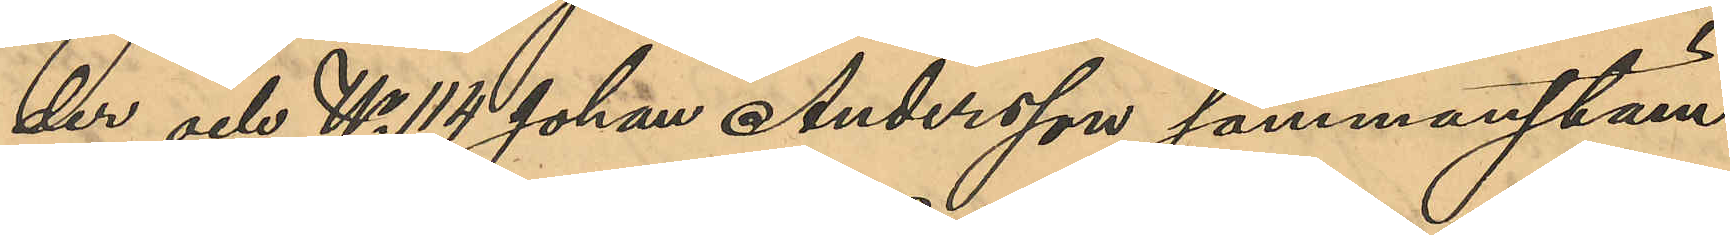der och No 114 Johan Andersson sammanstäm¬
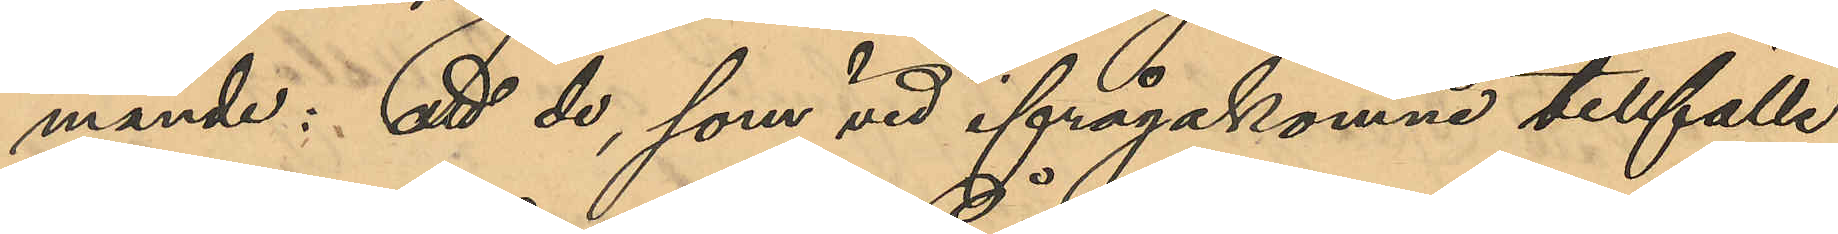mande: att de, som vid ifrågakomne tillfälle
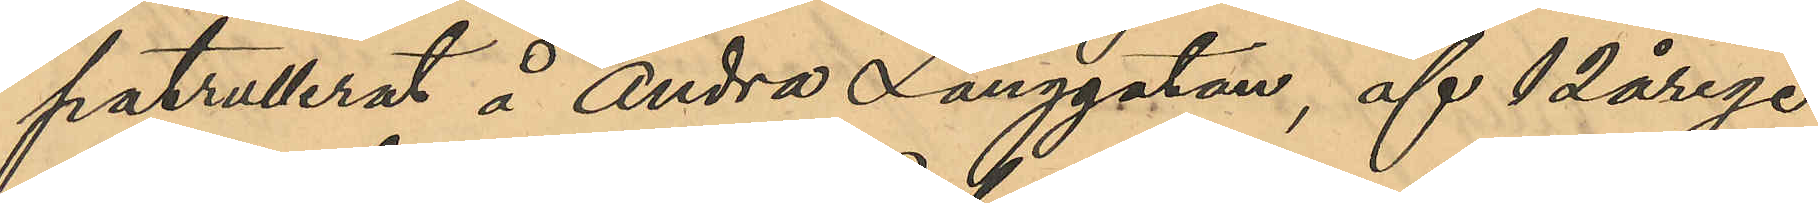patrullerat å Andra Långgatan, af 12årige
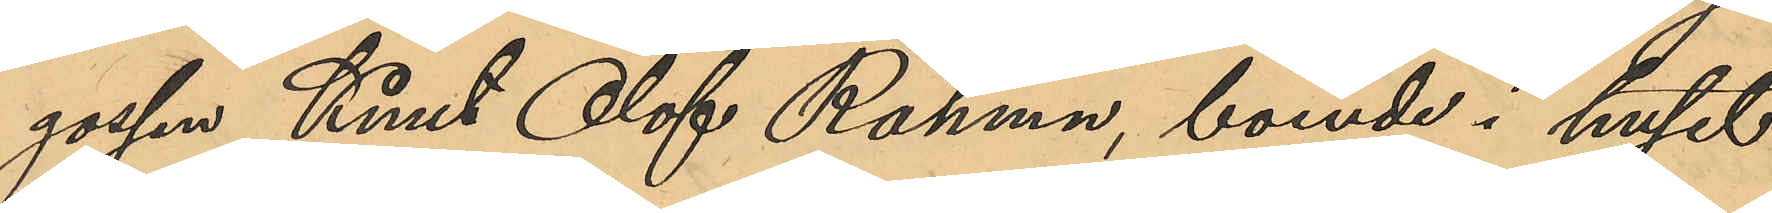gossen Knut Olof Rahman, boende i huset
